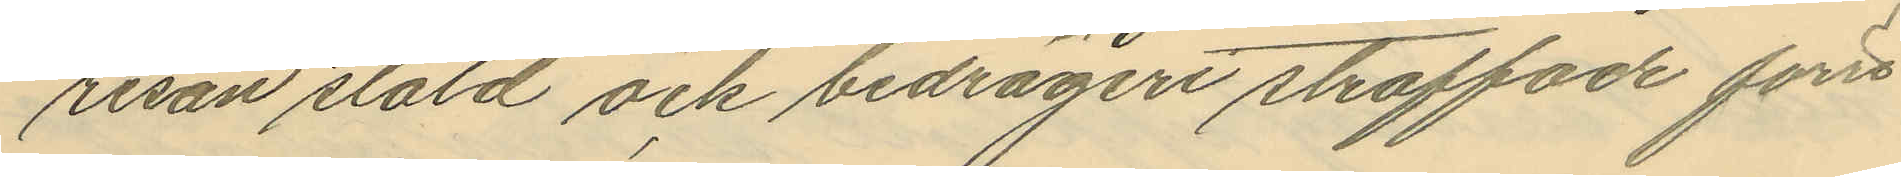resan stöld och bedrägeri straffade förre
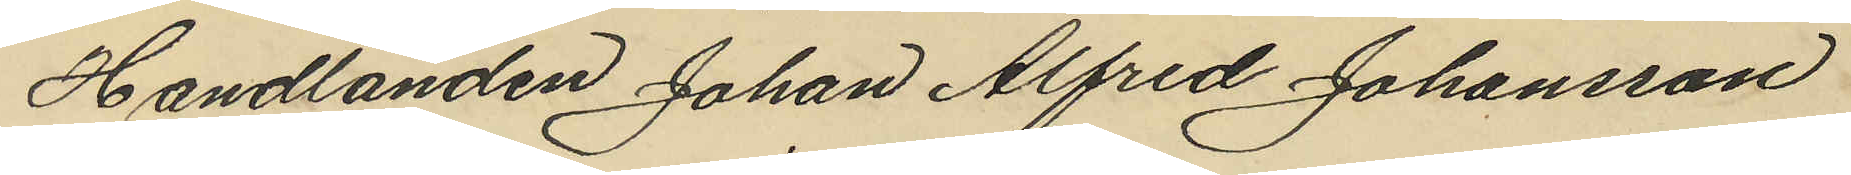Handlanden Johan Alfred Johansson
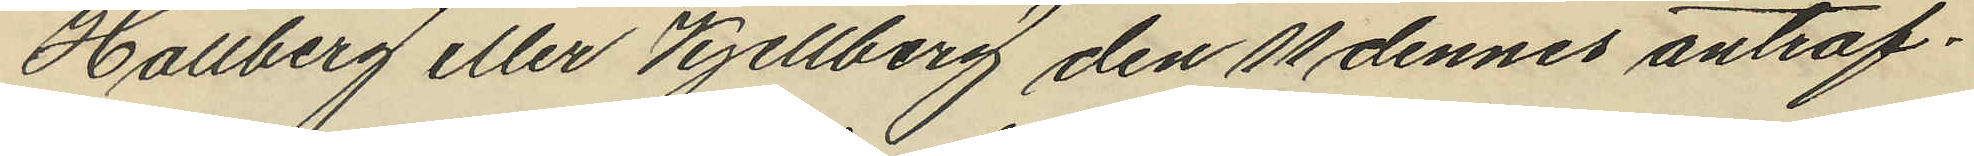Hallberg eller Kjellberg den 11 dennes anträf¬
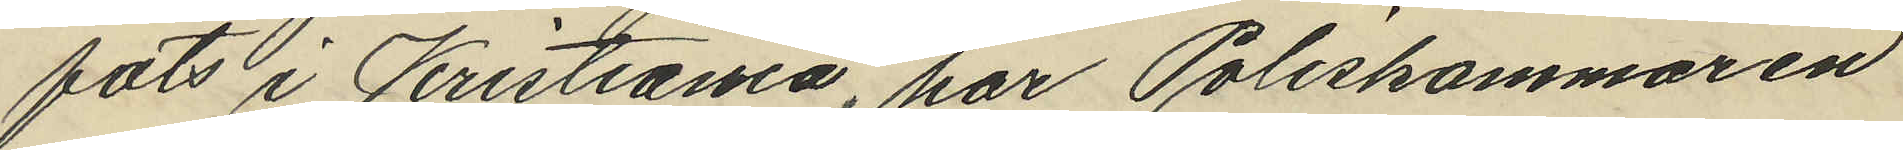fats i Kristiania, har Poliskammaren
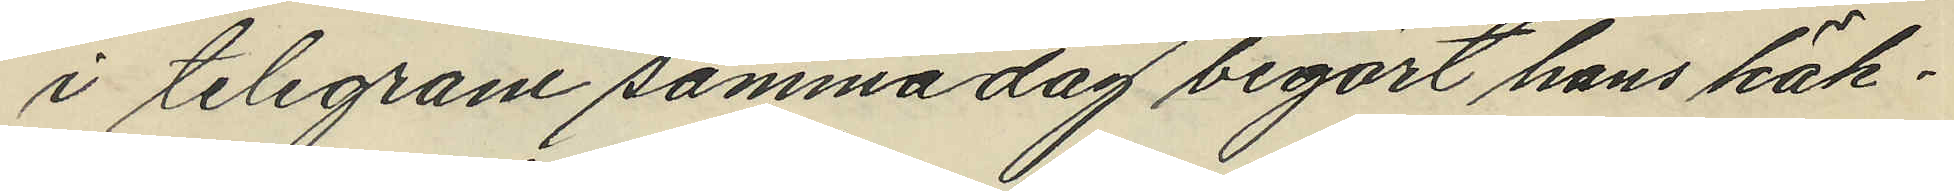i telegram samma dag begärt hans häk¬
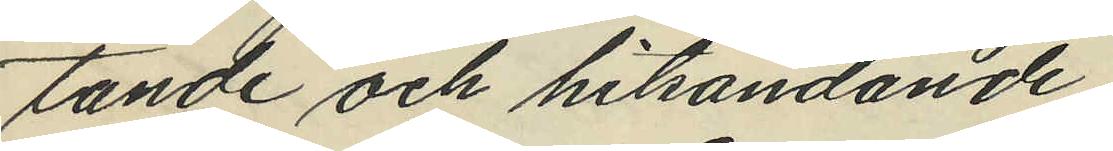tande och hithändande.
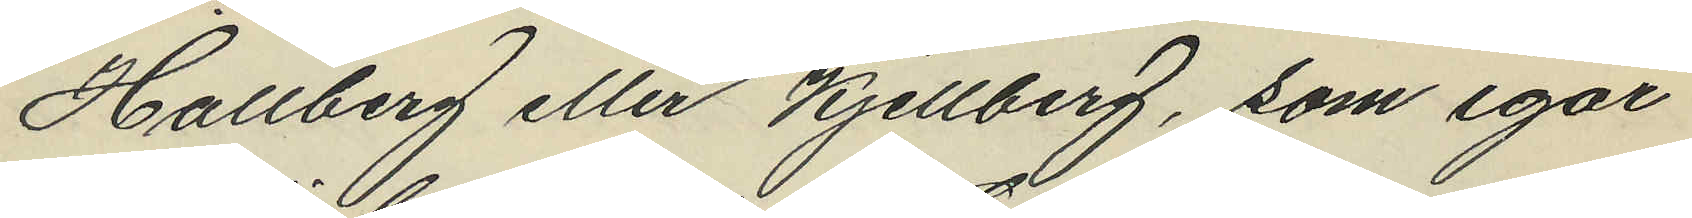Hallberg eller Kjellberg, som igår
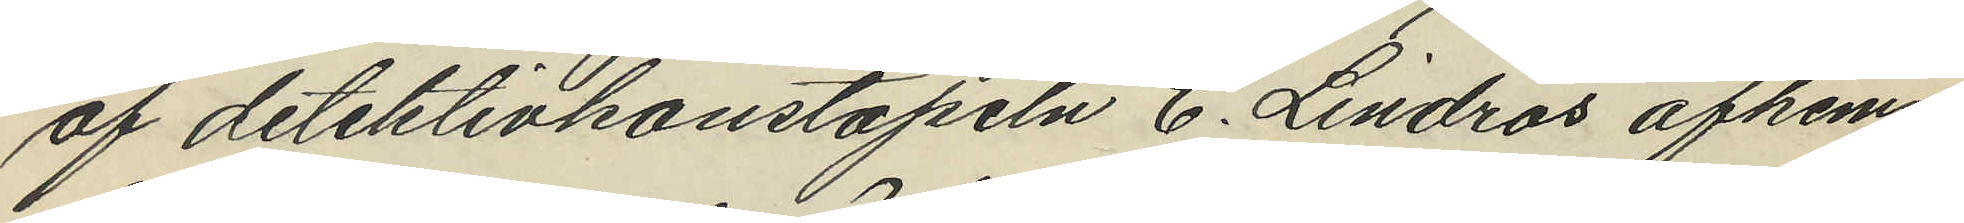af detektivkonstapeln C. Lindros afhem¬
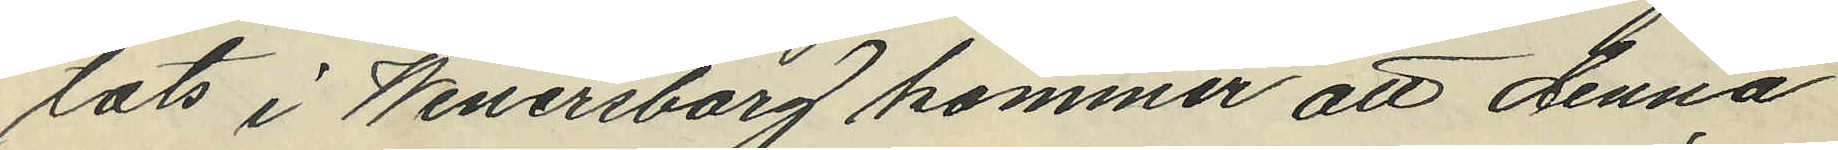tats i Wenersborg kommer att denna
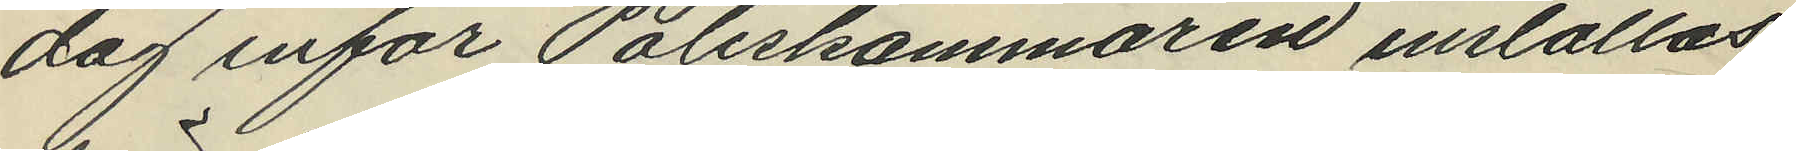dag inför Poliskammaren inställas
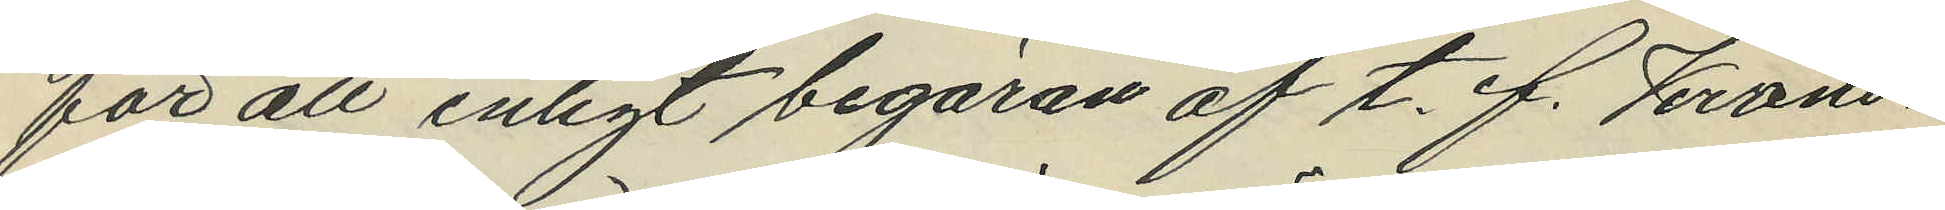för att enligt begäran af t. f. Krono¬
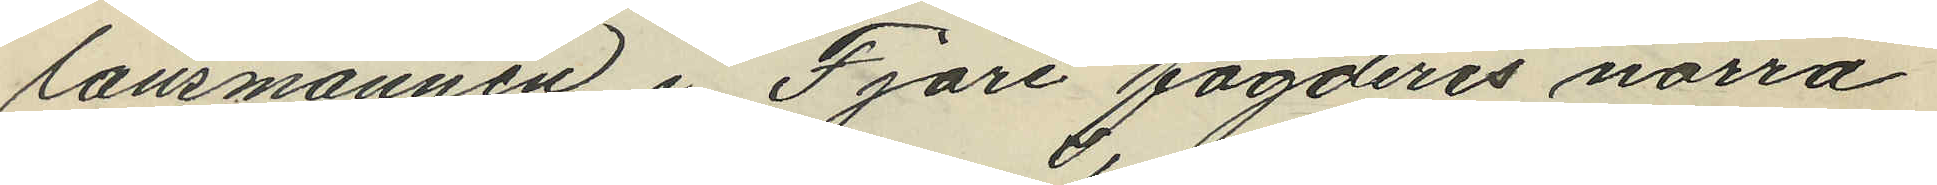länsmannen i Fjäre fögderis norra
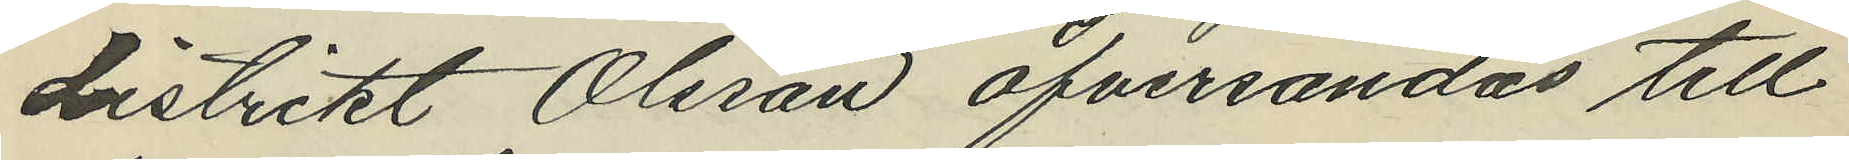distrikt Olsson öfversändas till
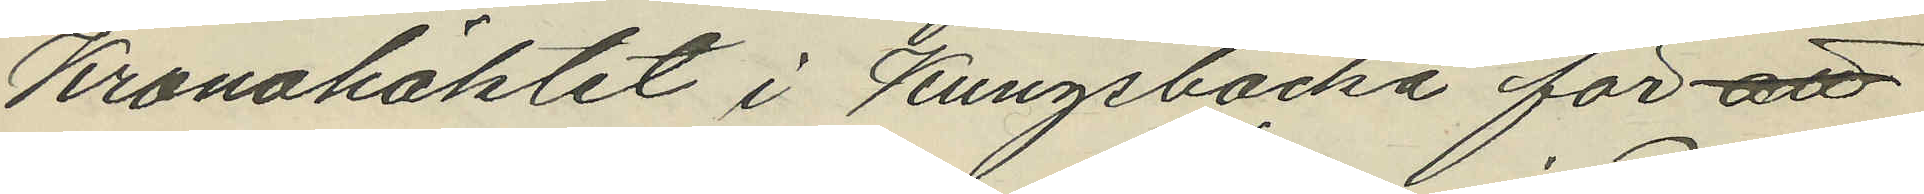Kronohäktet i Kungsbacka för att
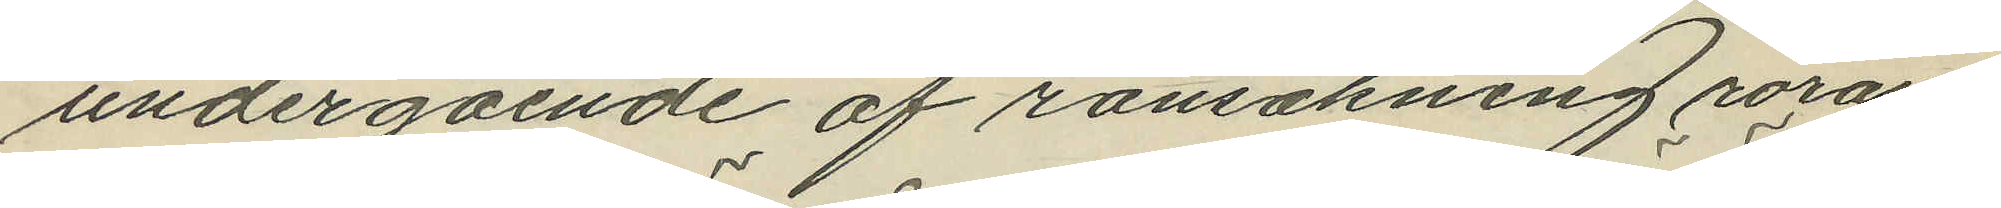undergående af ransakning röran¬
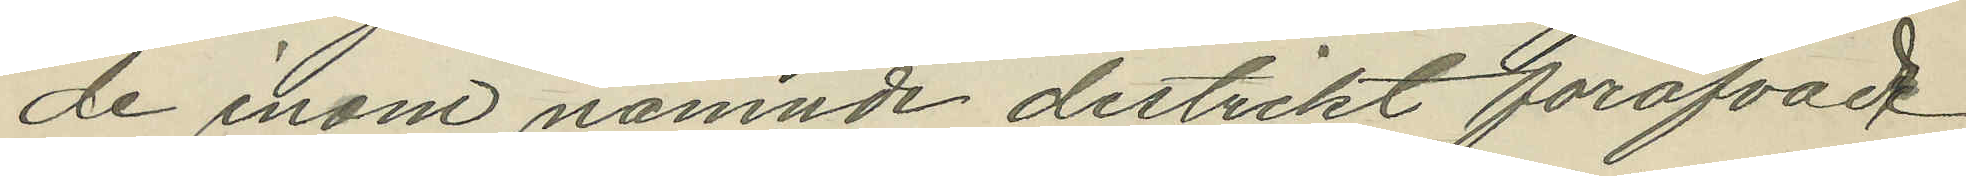de inom nämnde distrikt föröfvade
